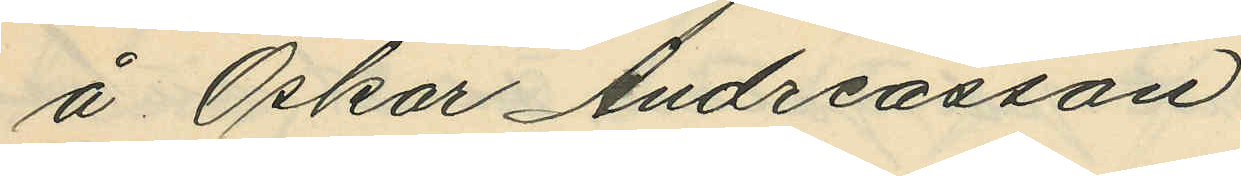å Oskar Andreasson
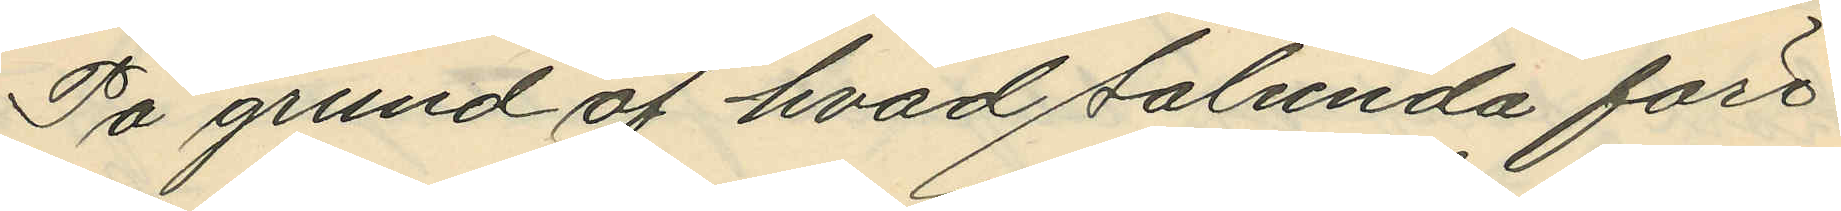På grund af hvad sålunda före¬
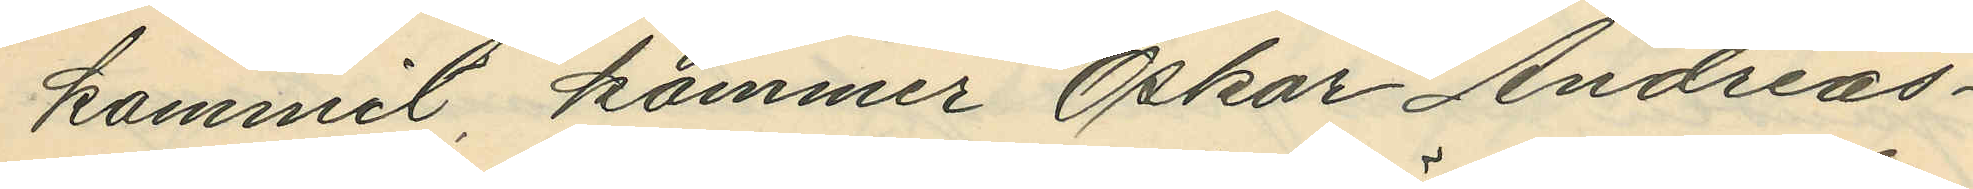kommit kommer Oskar Andreas¬
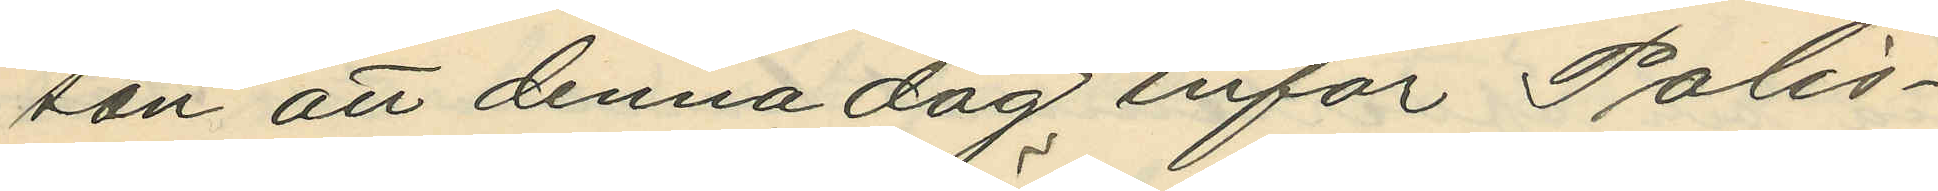son att denna dag inför Polis¬
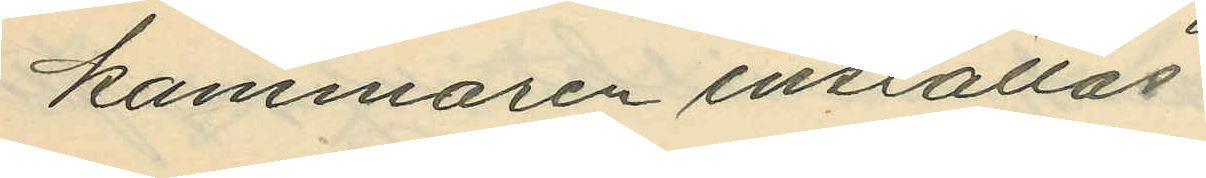kammaren inställas.
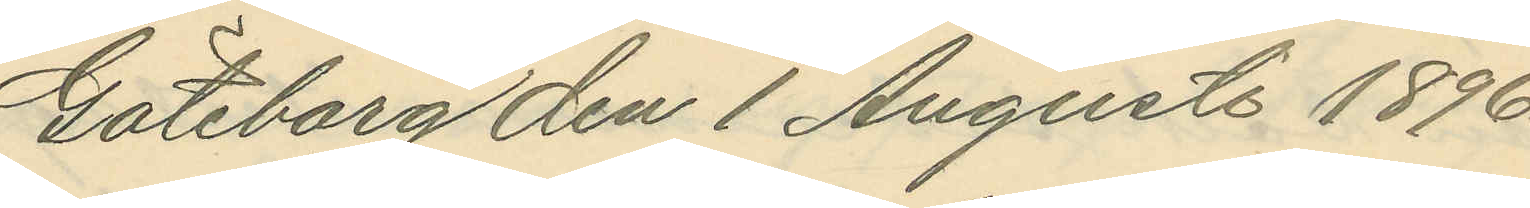Göteborg den 1 Augusti 1896.
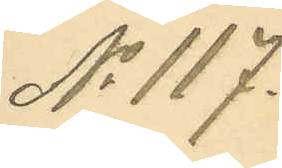No 117.
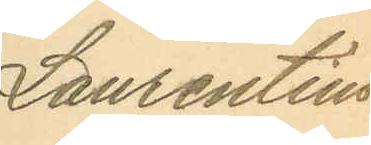Laurentius
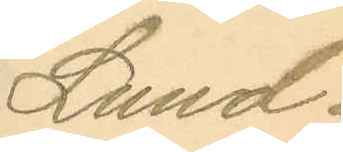Lund¬
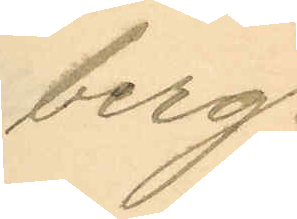berg.
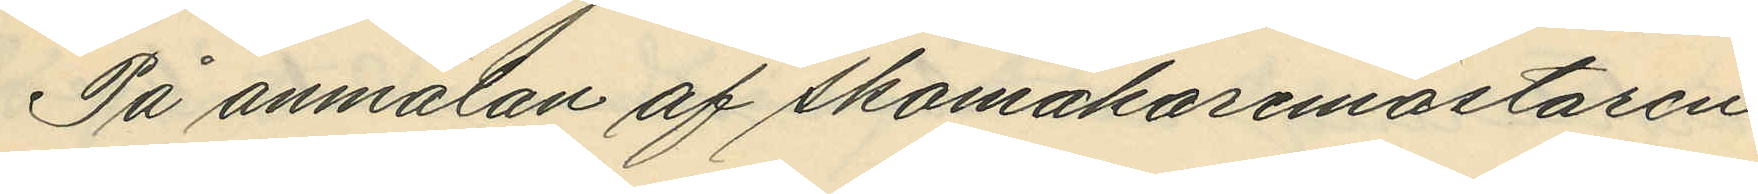På anmälan af skomakaremästaren
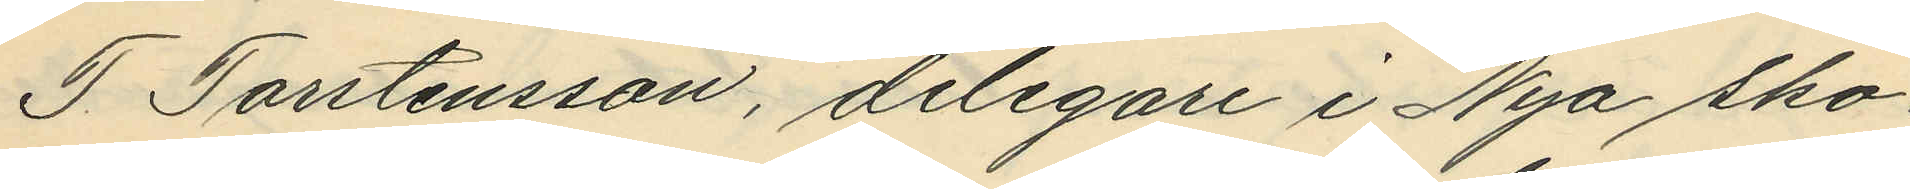T. Torstensson, delegare i Nya Sko¬
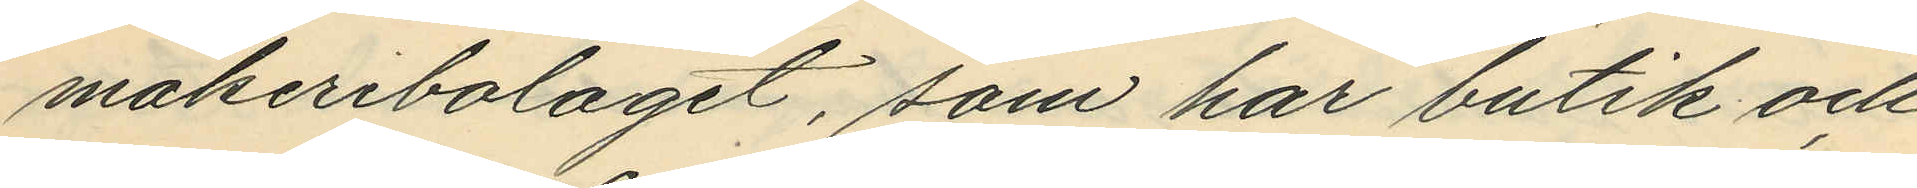makeribolaget, som har butik och
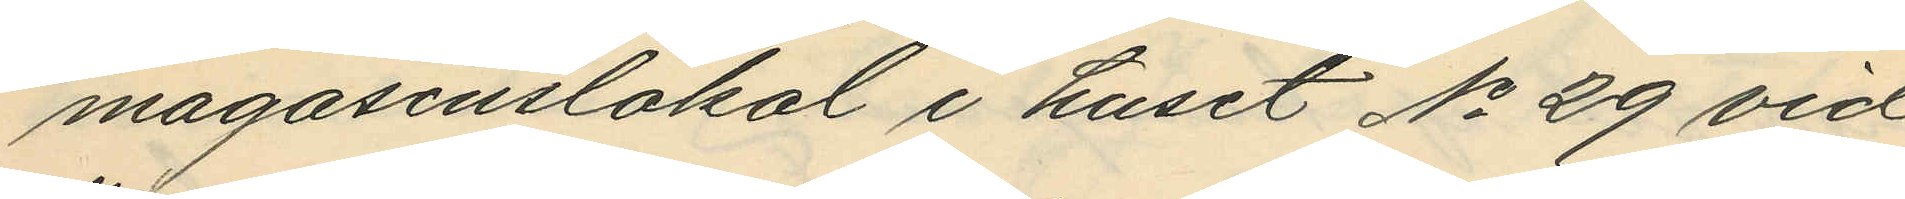magasinslokal i huset No 29 vid
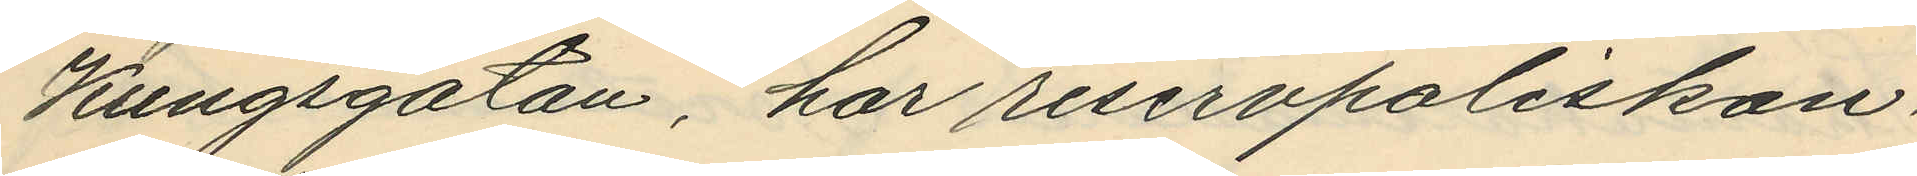Kungsgatan, har reservpoliskon¬
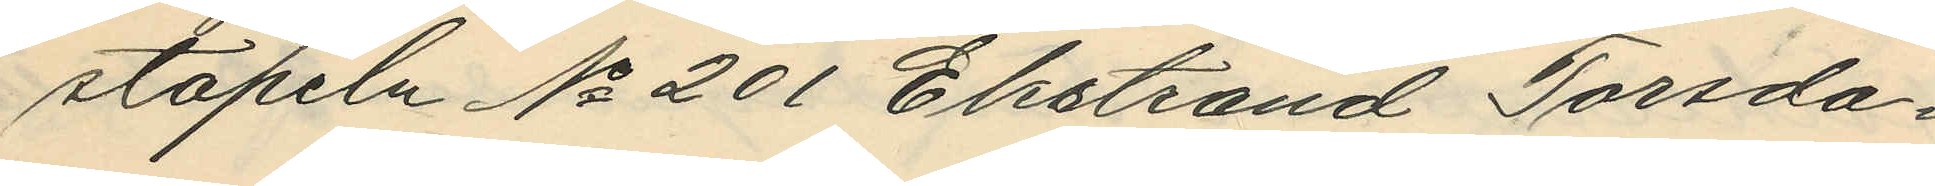stapeln No 201 Ekstrand Torsda¬
